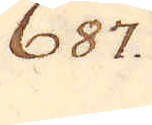687.
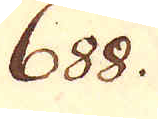688.
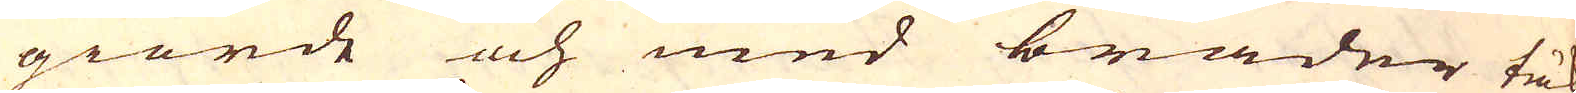giorde och med bräder täk-
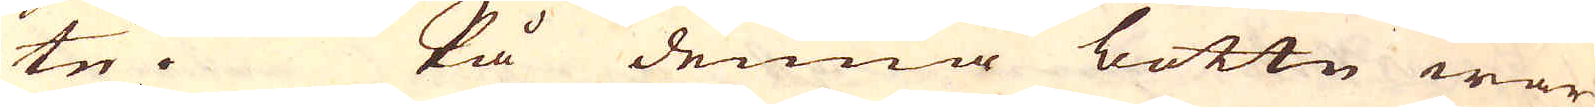te. På denna bottn war
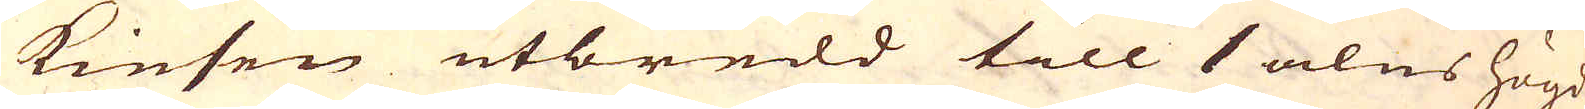kiesen utbredd till 1 alns högd
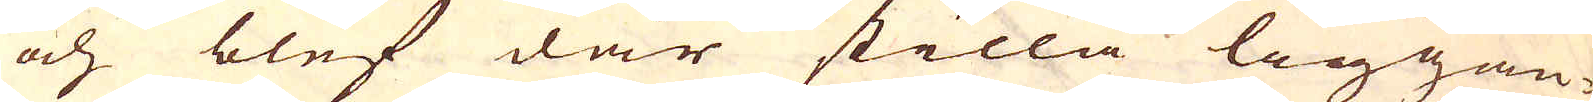och blef där stilla liggan-
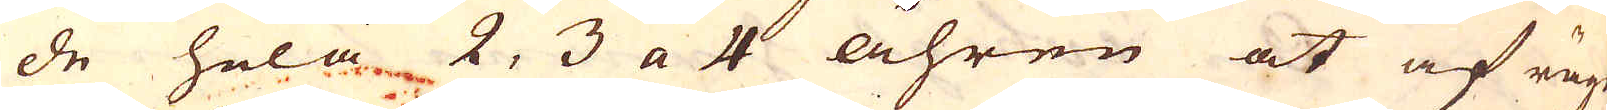de hela 2, 3 a 4 åhren at af rägn
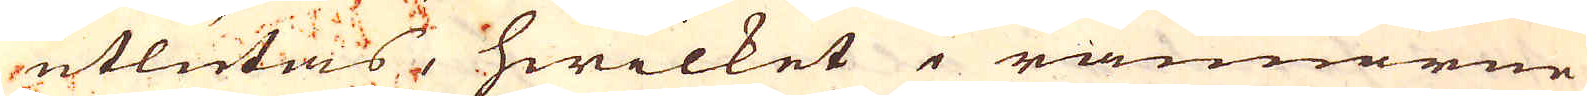utlutas, hwilket i rännarne
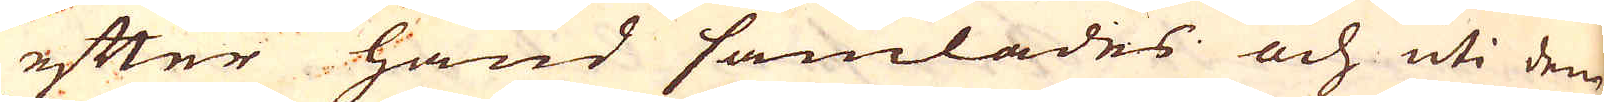efter hand samlades och uti den
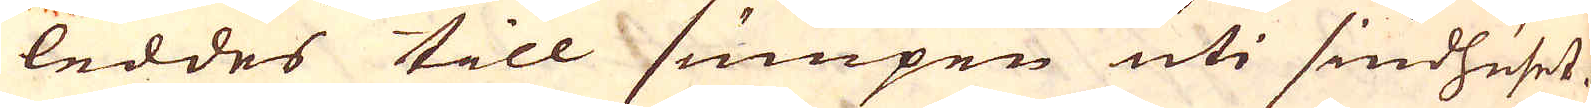leddes till sumpen uti siudhuset.
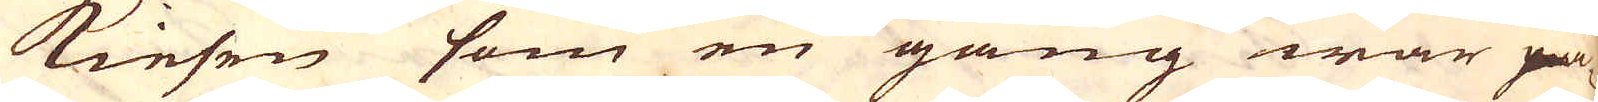Kiesen som en gång war på
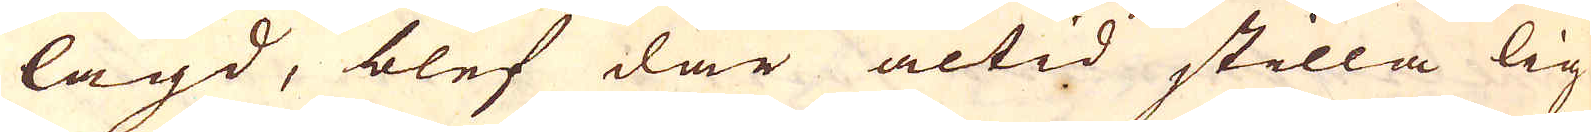lagd, blef där altid stilla lig-
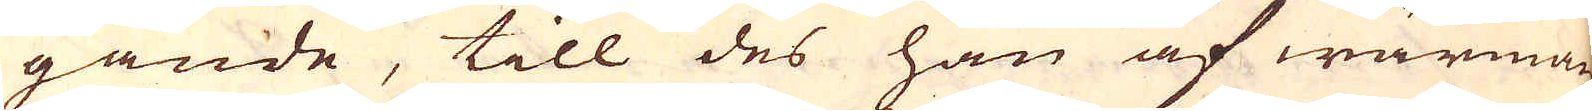gande, till des han af wärman
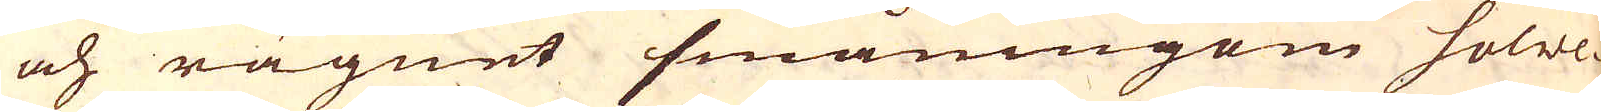och rägnet småningom solwe-
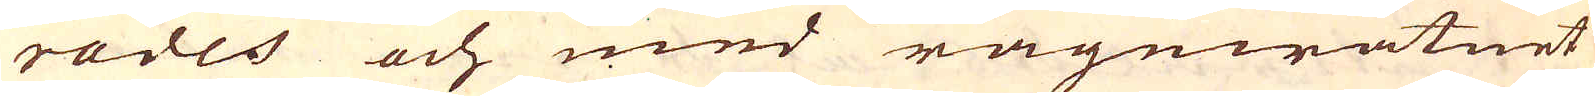rades och med rägnwatnet
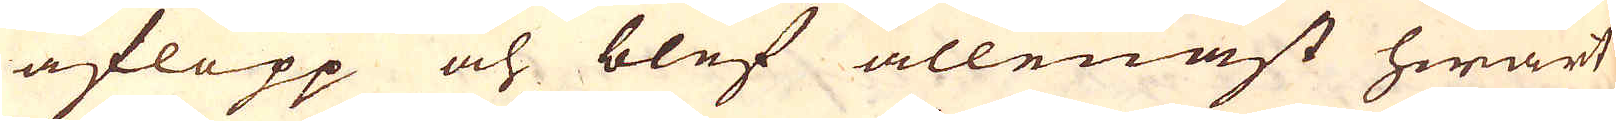aflopp och blef allenast hwart
